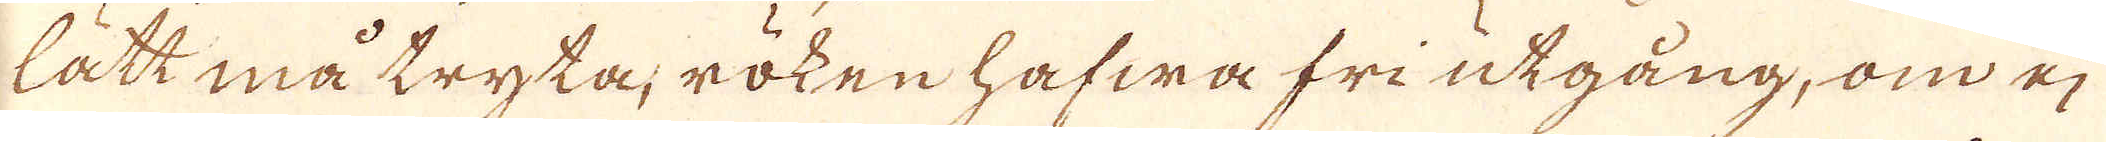lätt må tryka, röken hafwa fri utgång, om ej
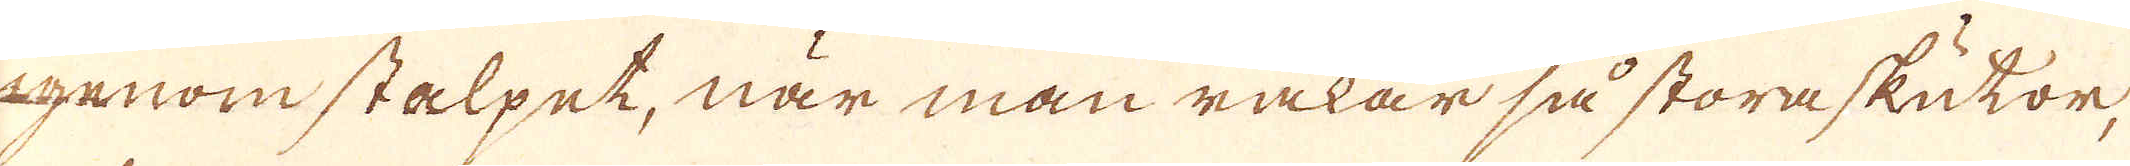igenom stalpet, när man råkar så stora skukor,
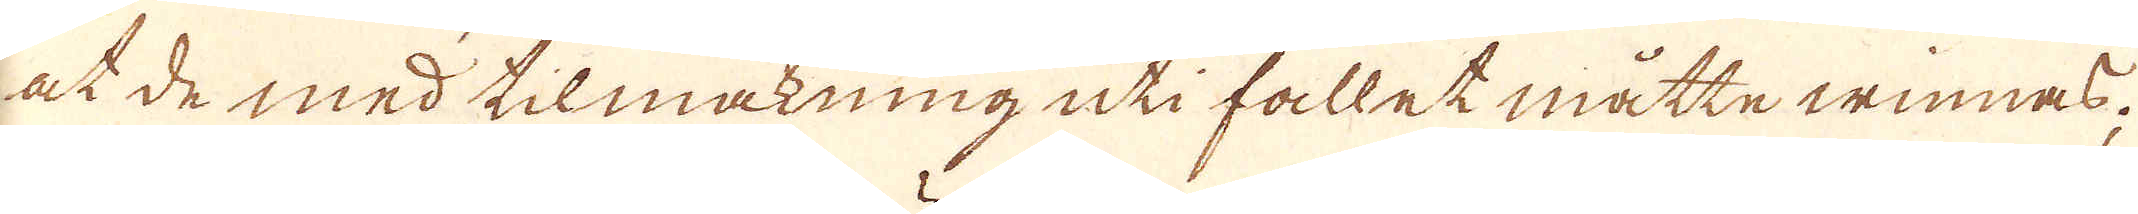at de med tilmakning uti fallet måtte winnas;
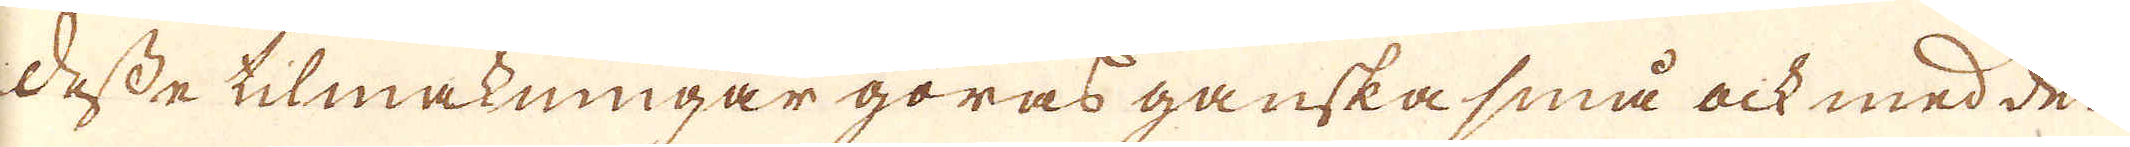Desse tilmakningar göras ganska små ock med den
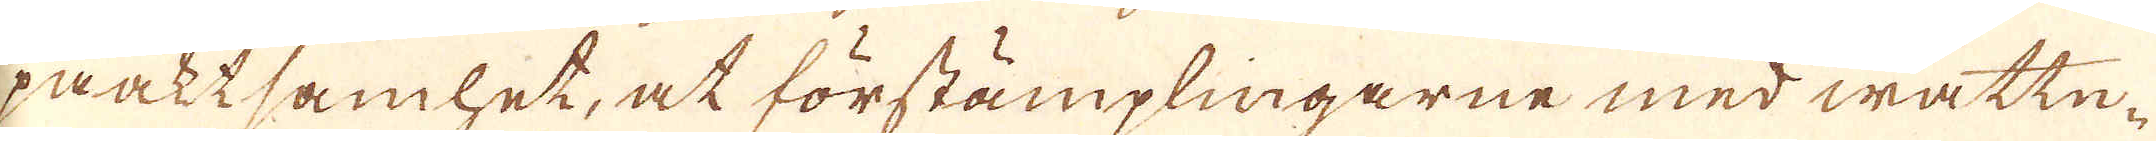påaktsamhet, at förstämplingarne med wattn-
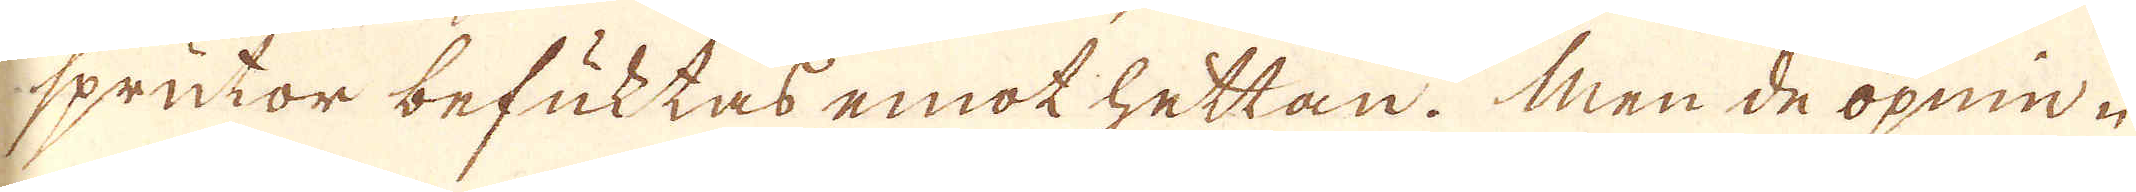sprutor befuktas emot hettan. Men de öpnin-
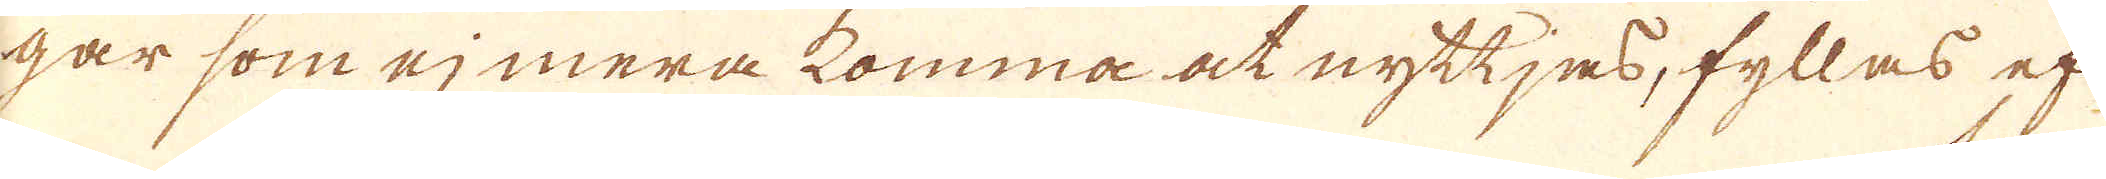gar som ej mera komma at nyttjes, fyllas ef
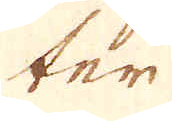ter
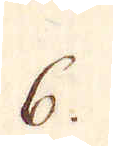6.
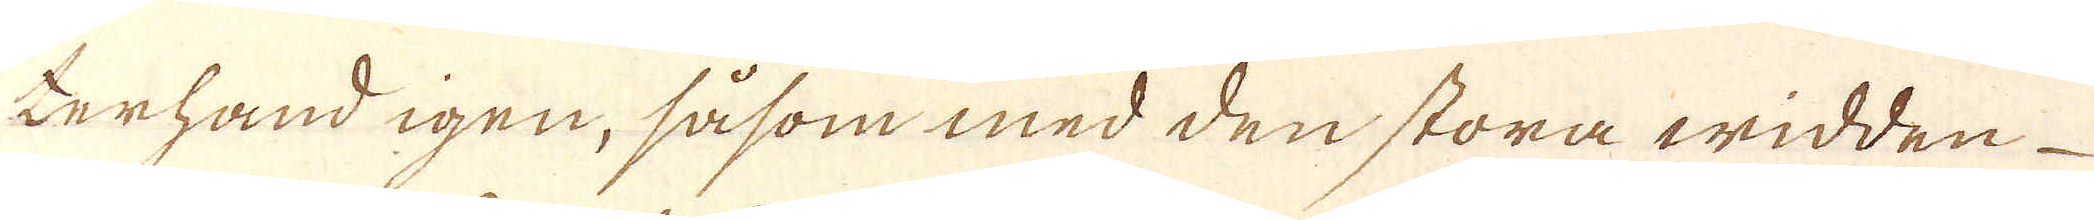terhand igen, såsom med den stora widden
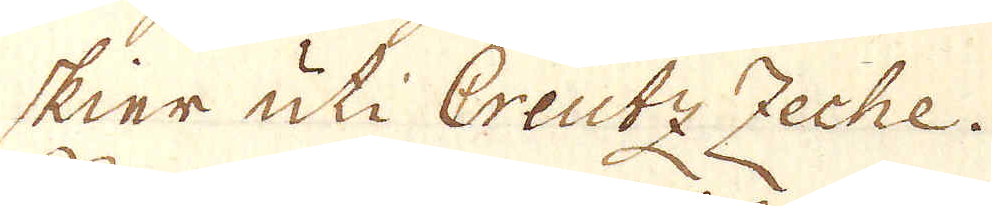skier uti Creutz Zeche.
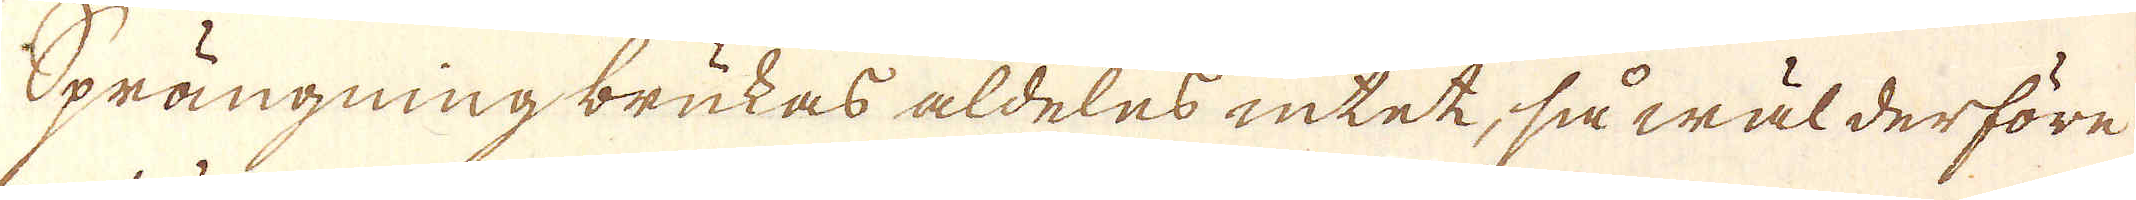Sprängning brukas aldeles intet, så wäl derföre
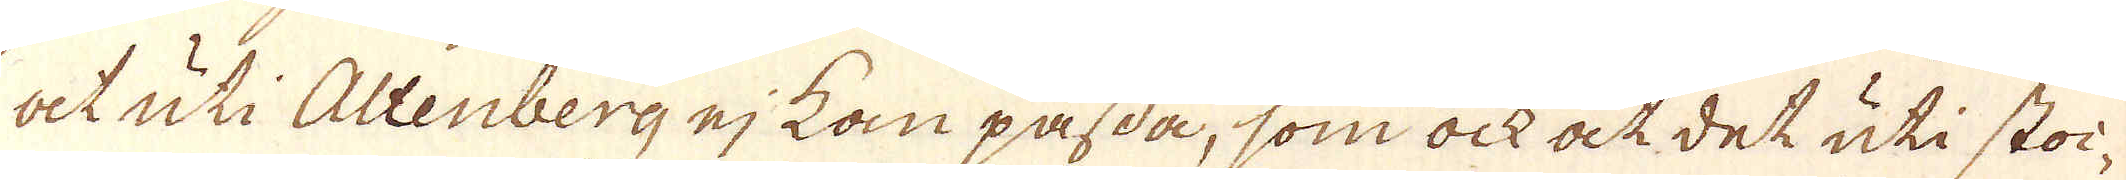at uti Altenberg ej kan passa, som ock at det uti stoi-
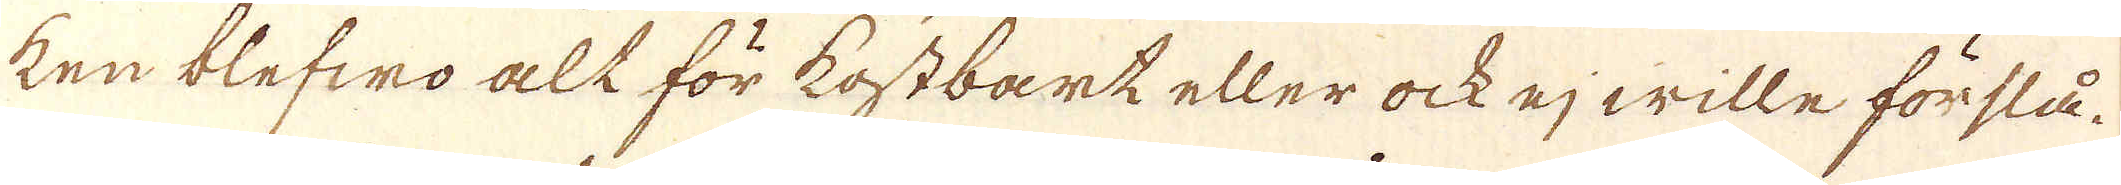ken blefwo alt för kostbart eller ock ej wille förslå.
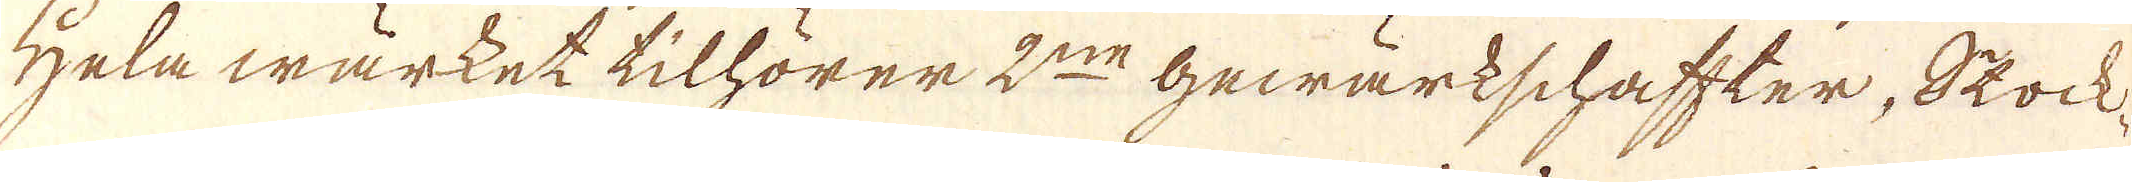Hela wärket tilhörer 2:ne Gewärkschaffter, Stock
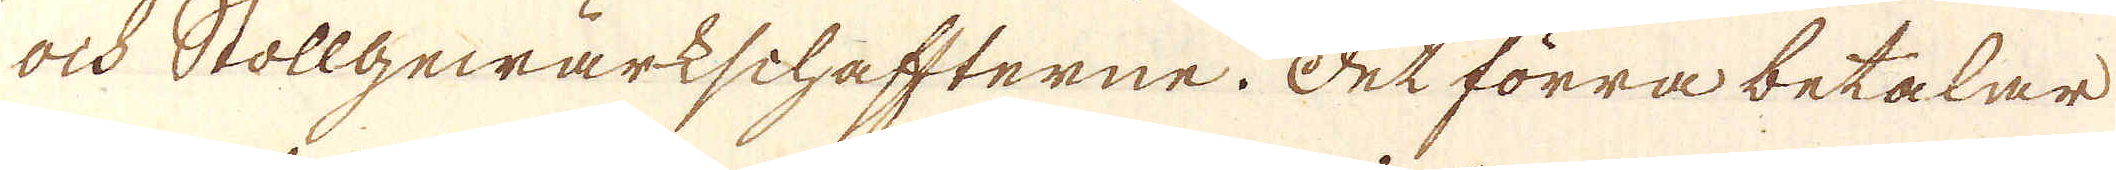och Stollgewärkschaffterne. Det förra betalar
